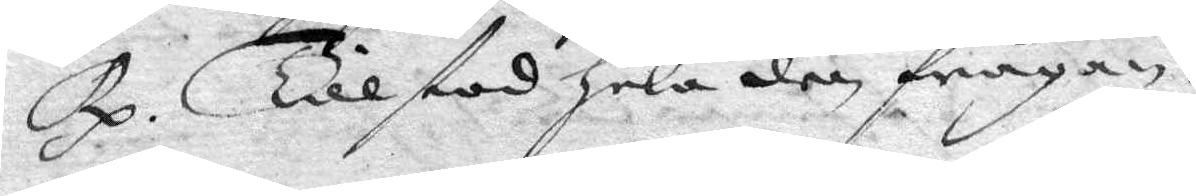Rp. Tillstod Hela den frågan.
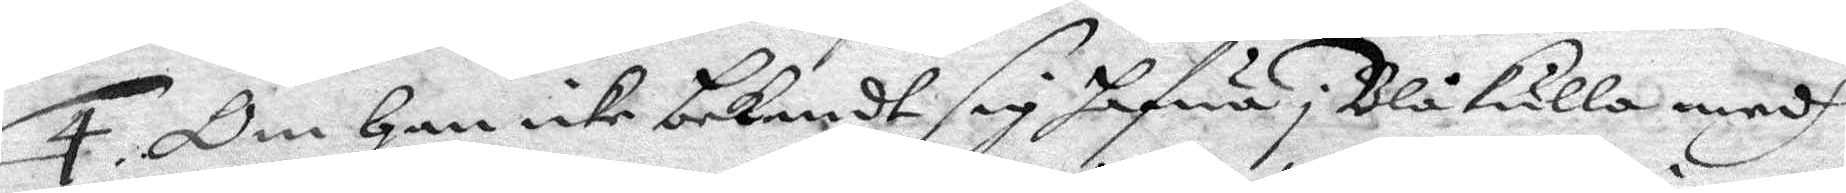4. Om Han icke bejendt sig hafwa i Blåkulla medh
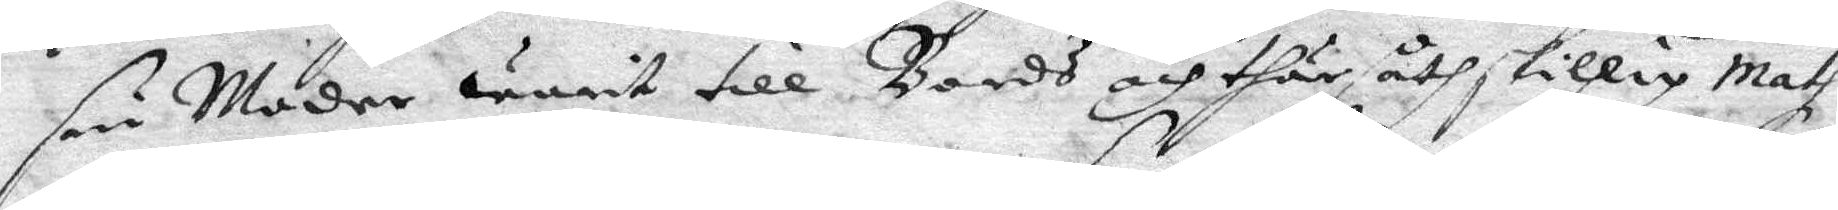sin Moder warit till Bords och thär åthskillig Math
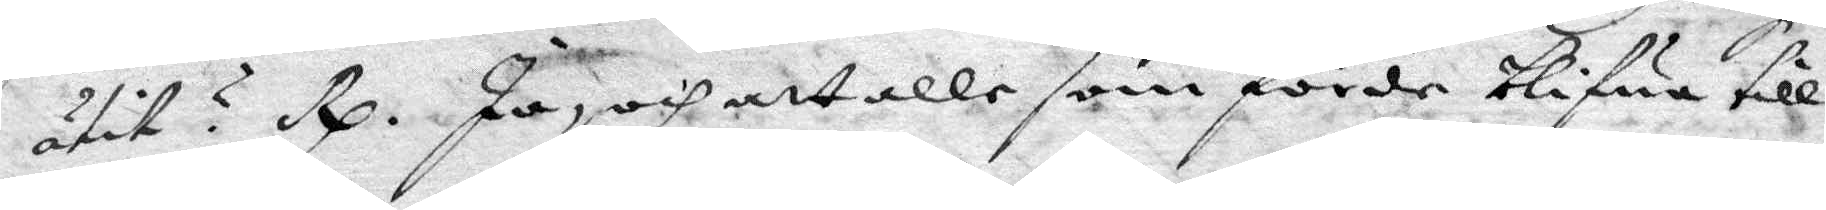ätir? Rp. Ja, och att alle som förde blifwa till
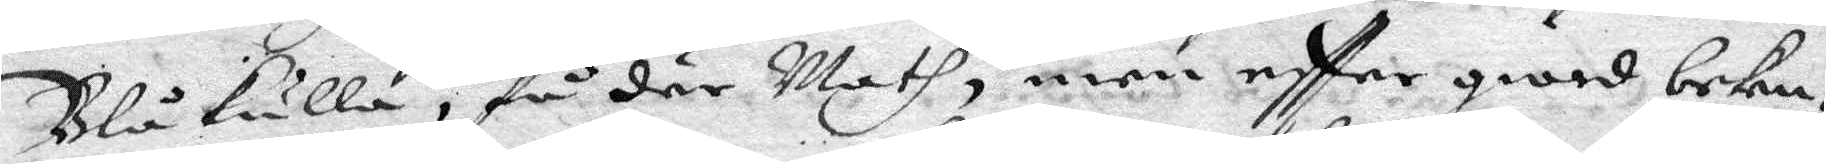Blåkulla, få där Math, men eftter giord beke¬
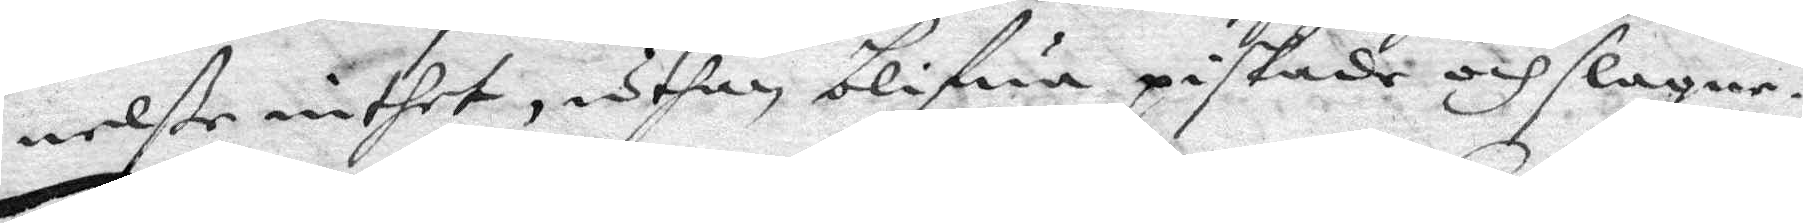nelße intet, uthan blifwa piskade och slagne.
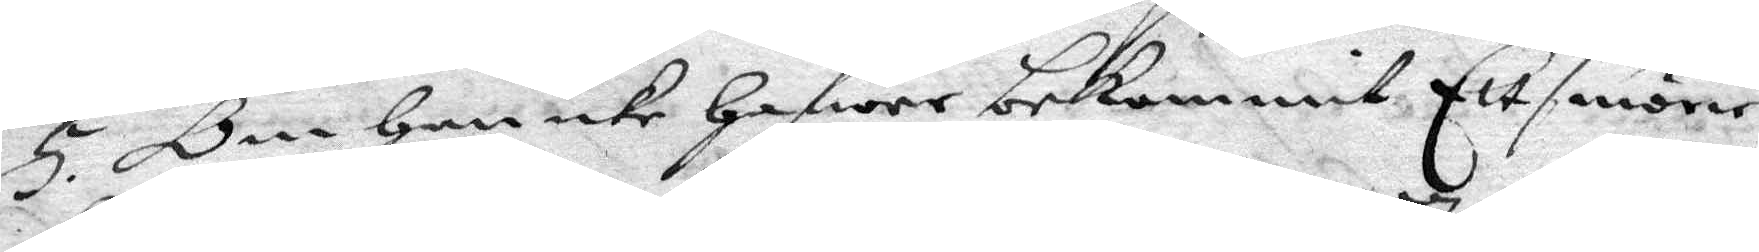5. Om Han icke Hafwer bekommit Ett smörie¬
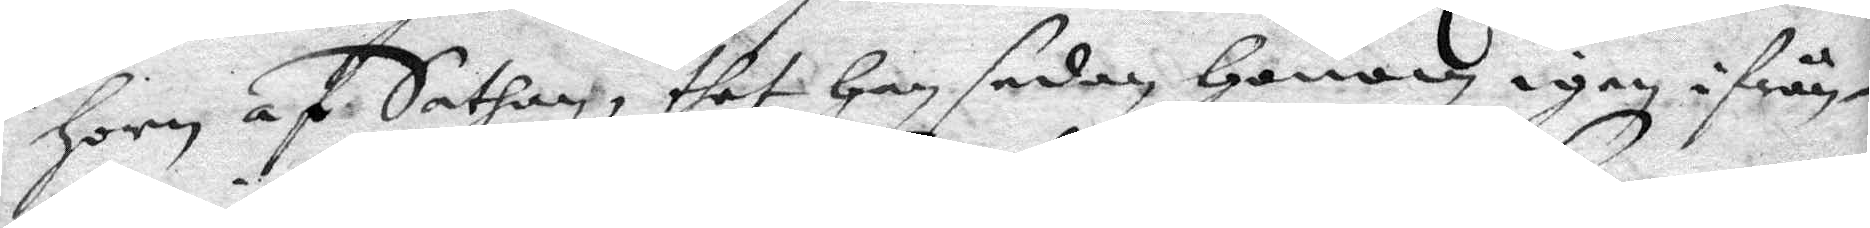Horn af Sathan, thet Han sedan Honom igen ifrån¬
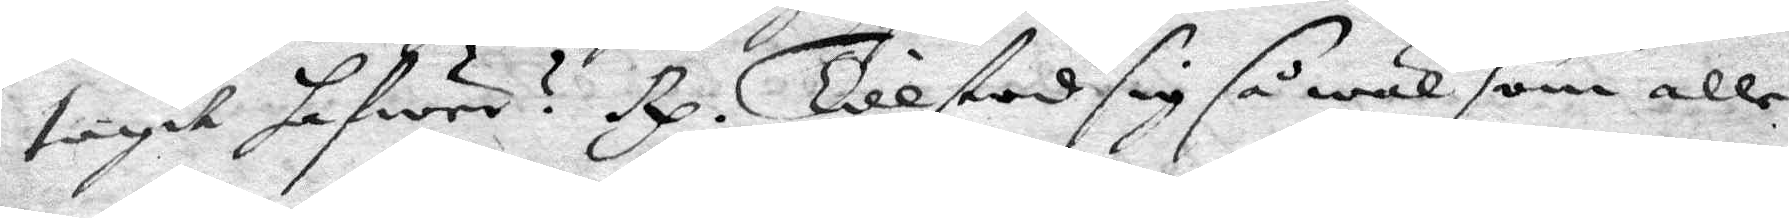tagit hafwer? Rp. Tillstod sig så wäl som alle
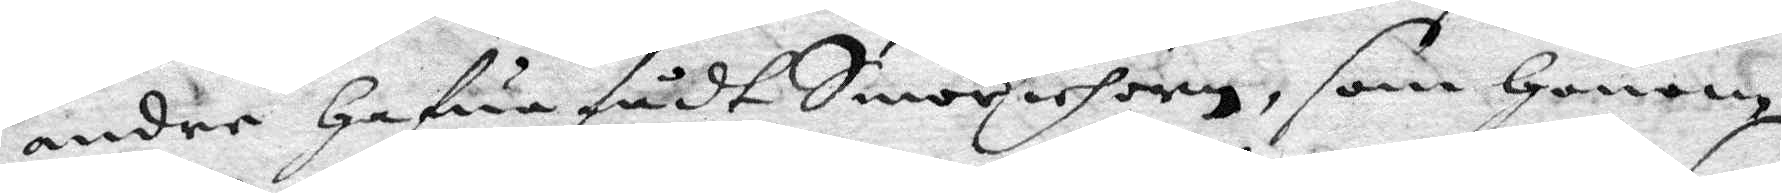andre Hafua fådt Smöriehorn, som Honom
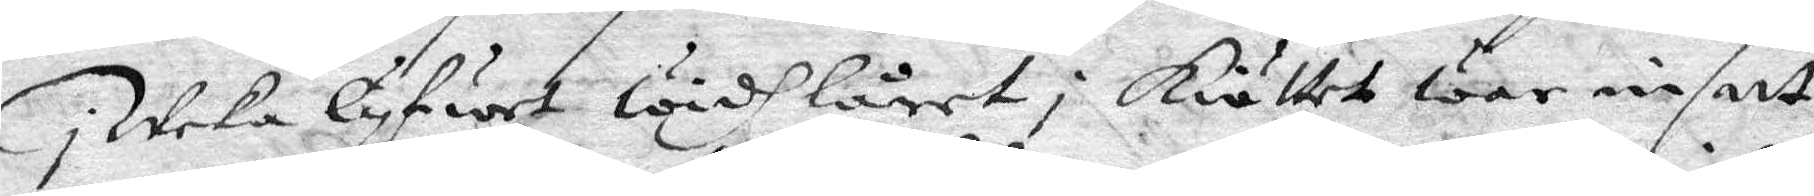i Weka lyfwet widh låret i köttet war insatt,
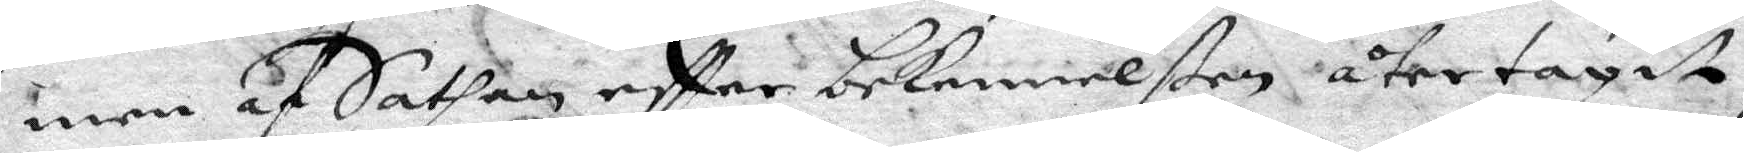men af Satan eftter bekennelßen återtagit,
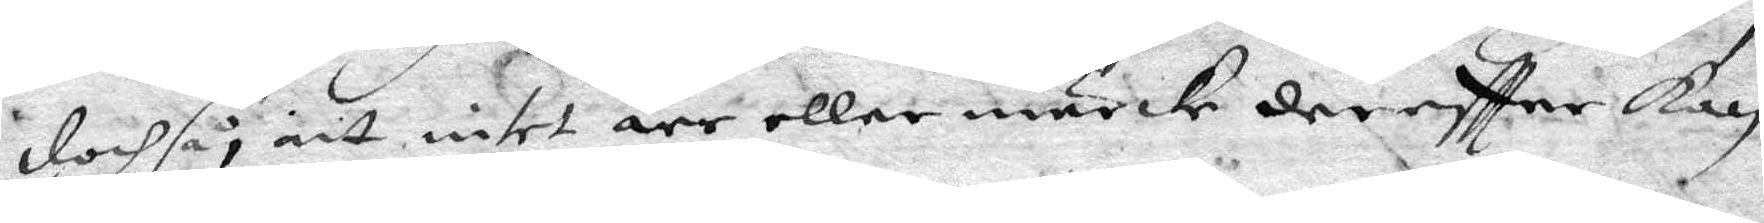doch så att intet ärr eller märkcke dereftter kan
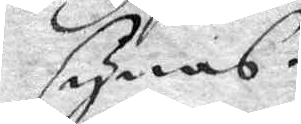synas.
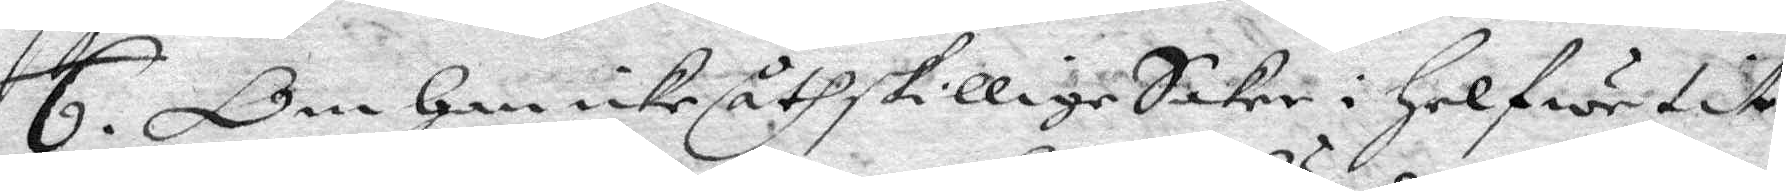6. Om Han icke åthskillige Saker i Helwetit
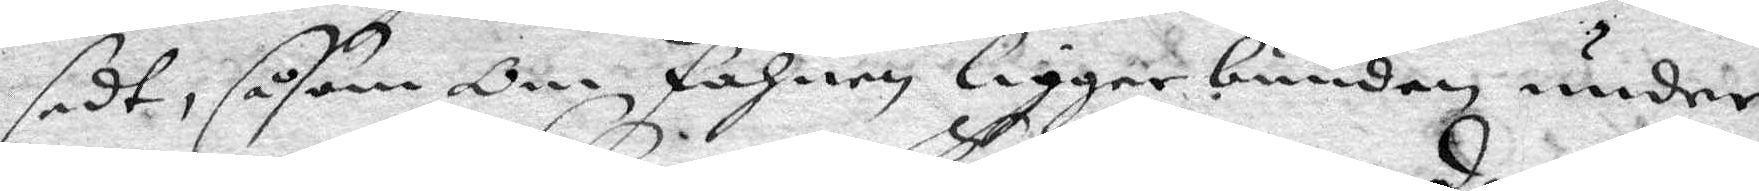sedt, såsom Om fahnen ligger bunden under
